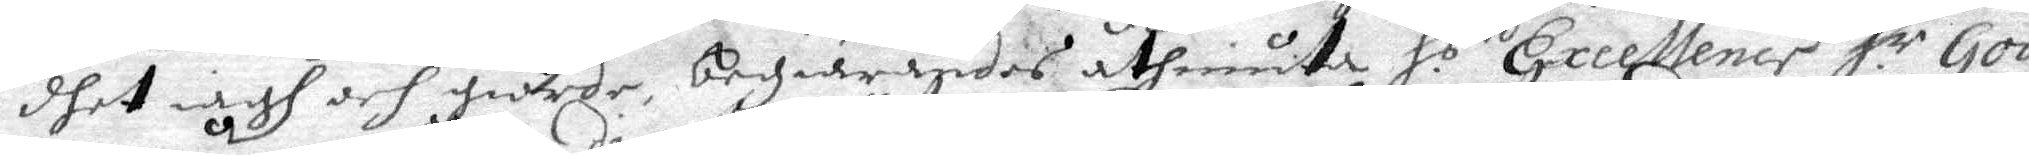dhet iagh och giorde, begiärandes åthniuta H.s Excellence H.r Gou¬
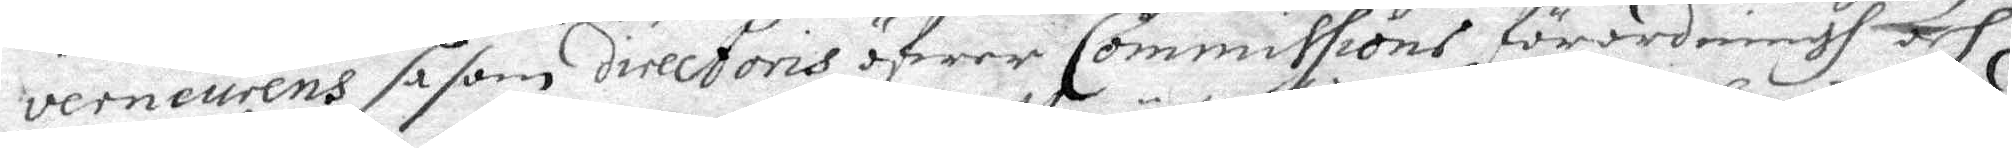verneurens såsom directoris öfwer Commissions förordningh och
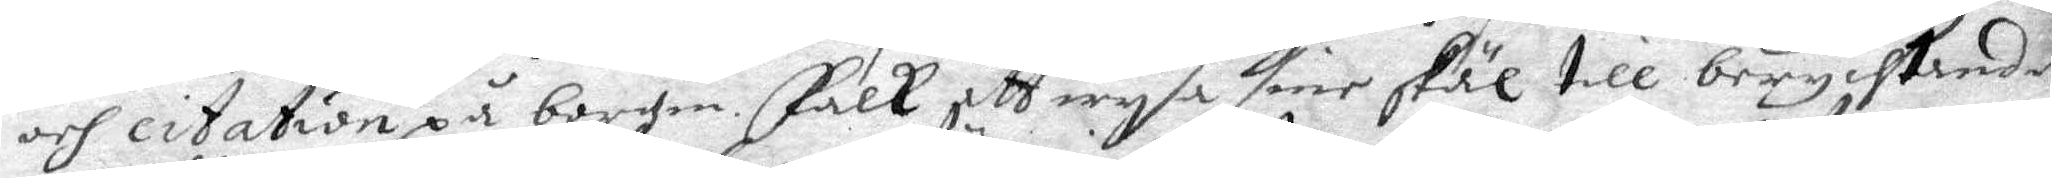och citation på borgen. Falk att wysa sine skäl till berychtande
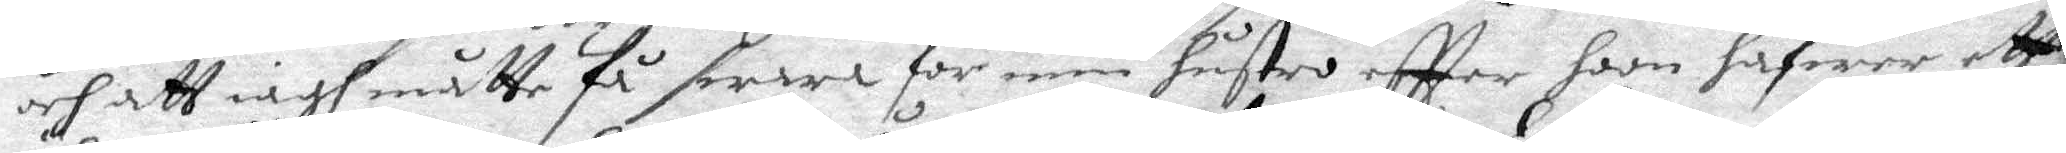och att iagh måtte få swara för min hustro effter hon hafwer ett
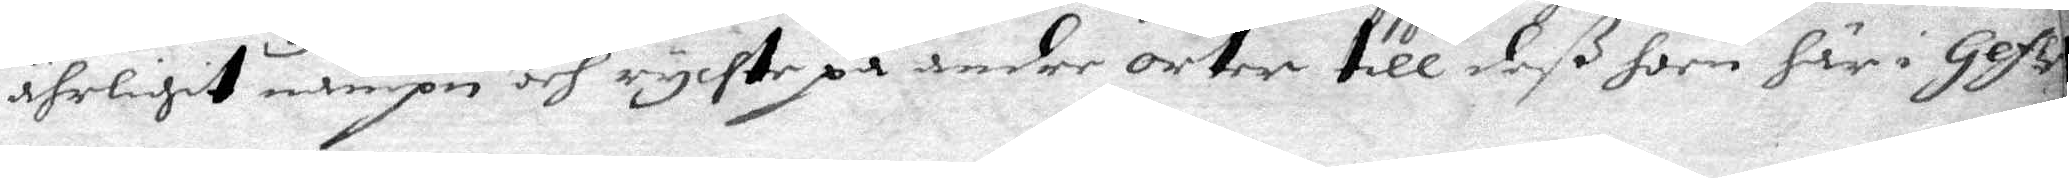ährligit nampn och rychte på andre orter till deß hon här i Gefle
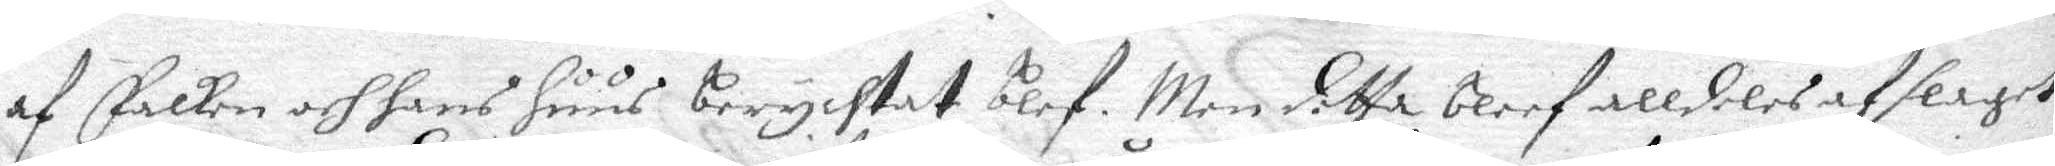af Falken och hans huus berychtat blef. Men detta bleef alldeles afslaget
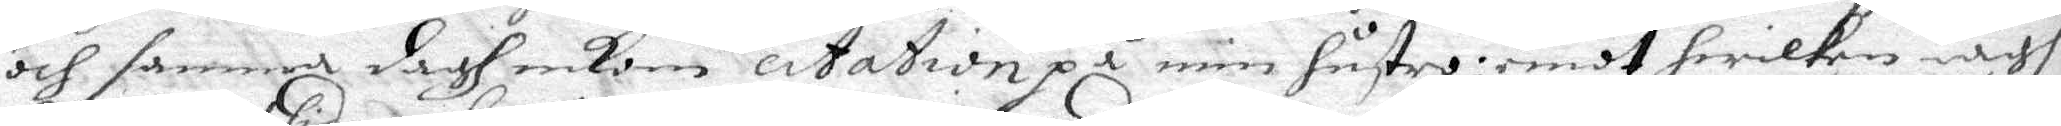och samma dagh ankom citation på min hustri: emot hwilken iagh
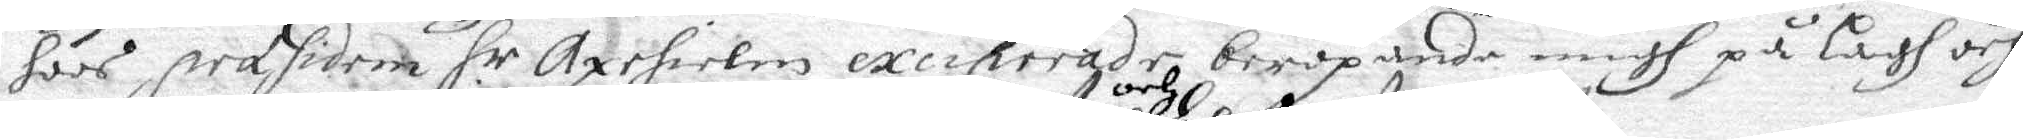hoos præsidem H.r Axehielm exciporade beropande migh på Lagh och
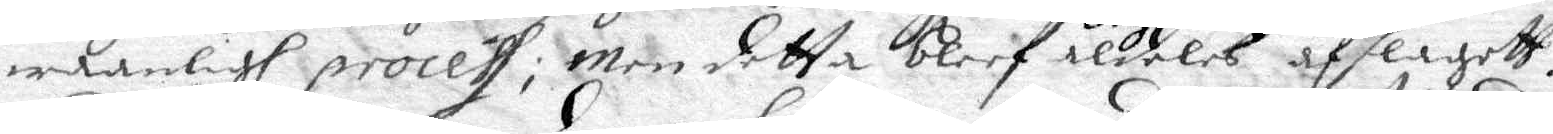waanligh process; Men detta bleef och aldeles afslagett.
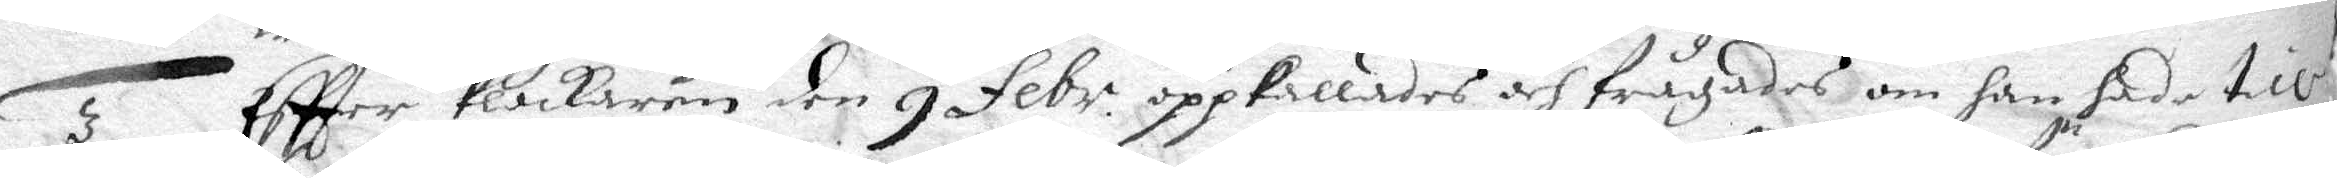3. Eftter klockaren den 9 Febr. oppkallades och frågades om han hade till¬
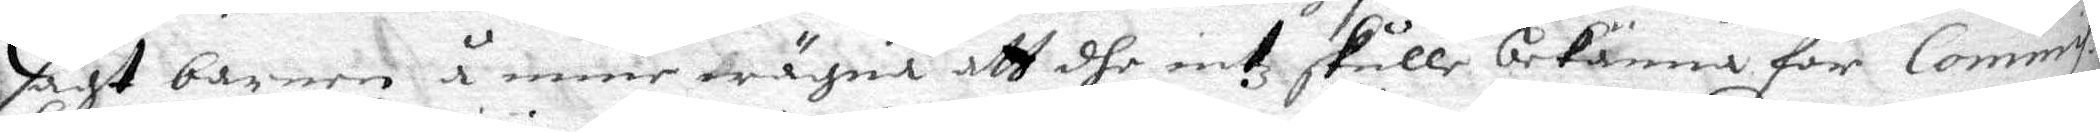sagt barnen å mine wägna att dhe intz skulle bekänna för Commis¬
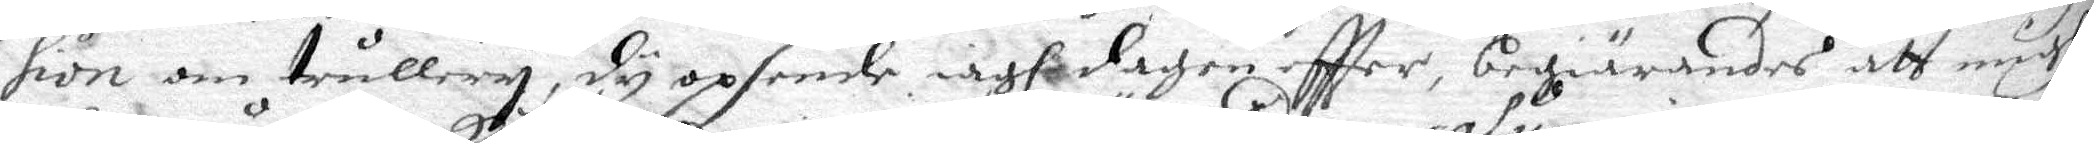sion om trullery, dy opsende iagh dagen eftter, begiärandes att migh
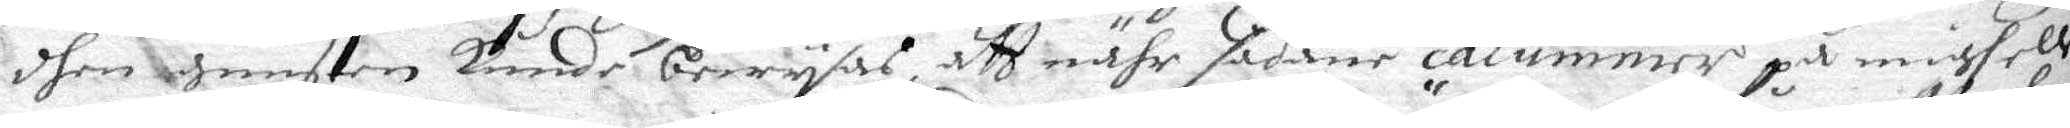dhen gunsten kunde bewysas att nähr sådande calumnier på migh eller
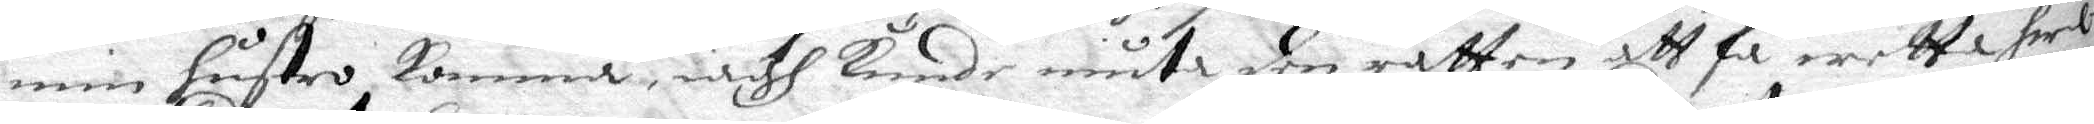min hustro komma, iagh kunde niuta den rätten att få wetta herl¬
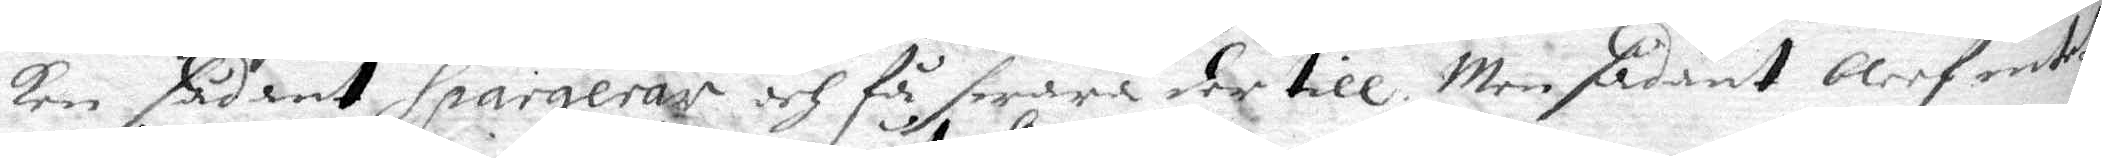ken sådant spargerar och få swara der till. Men sådant blef intet
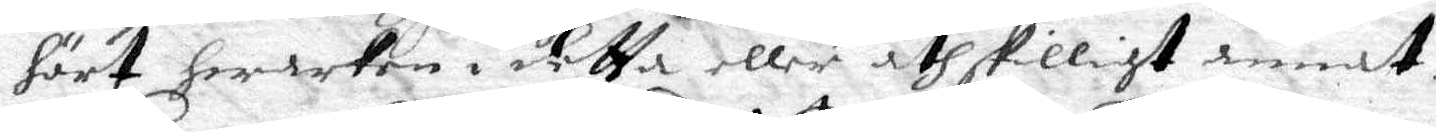hört hwarken i detta eller åthskilligt annat.
